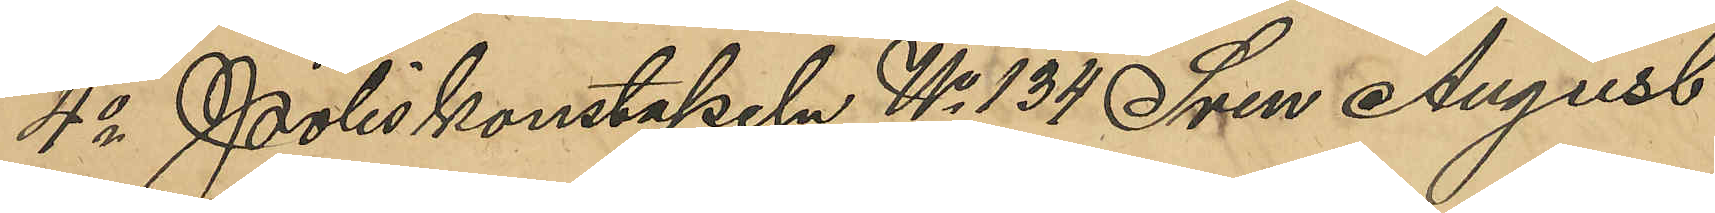4o Poliskonstapeln No 134 Sven August
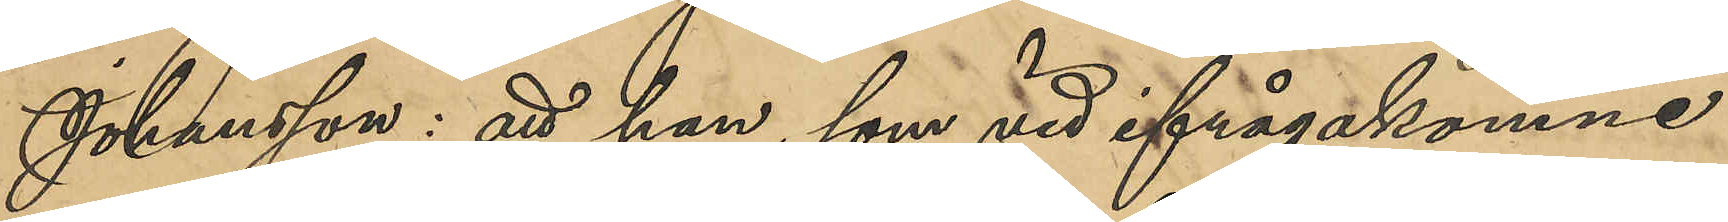Johansson: att han, som vid ifrågakomne 
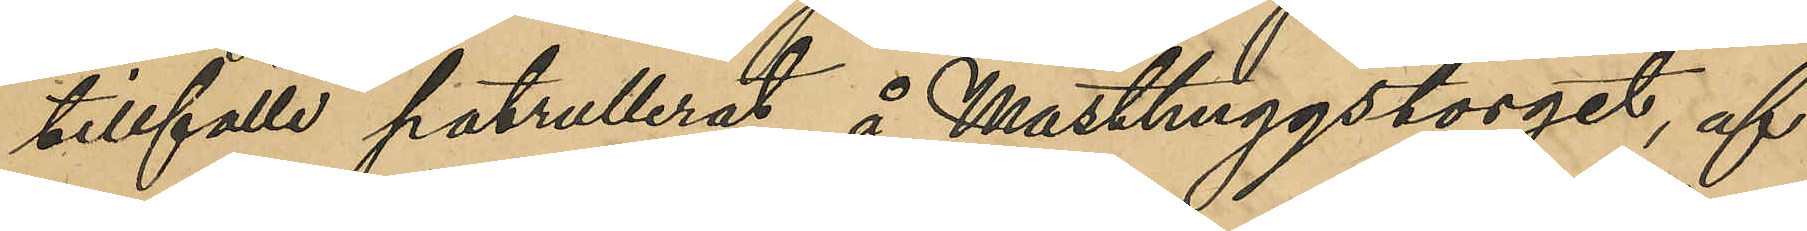tillfälle patrullerat å Masthuggstorget, af
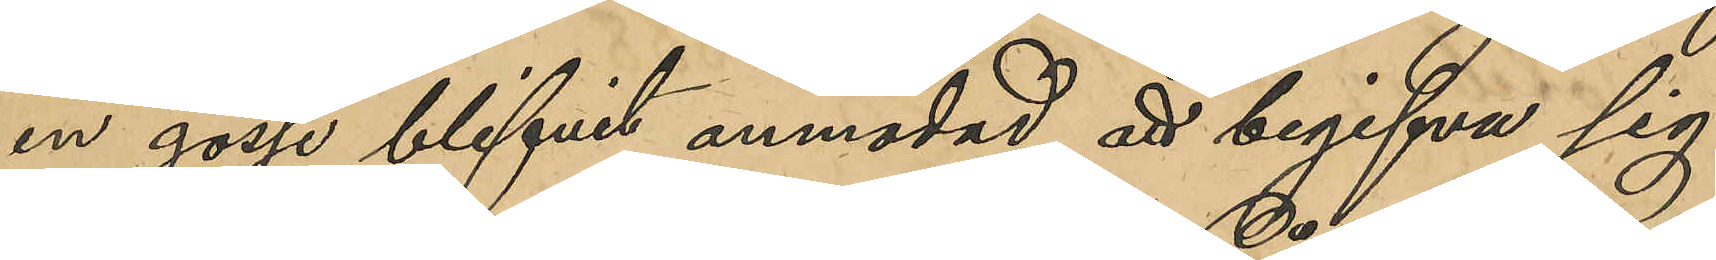en gosse blifvit anmodad att begifva sig
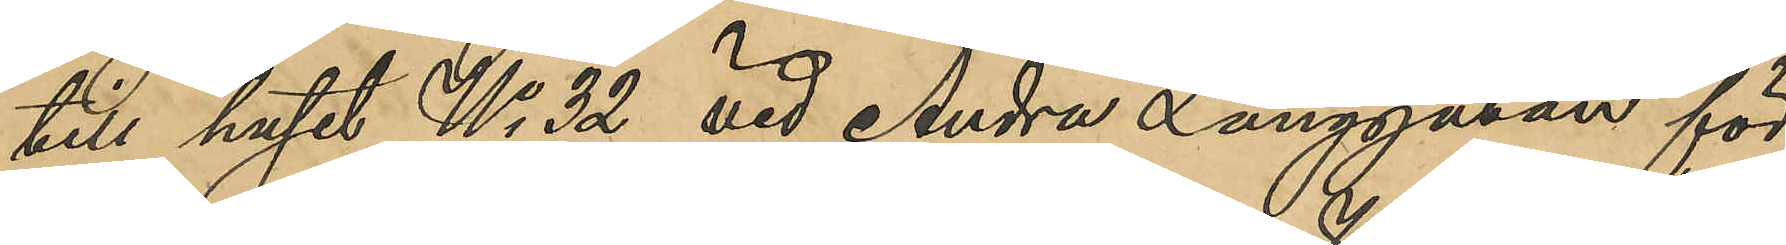till huset No 32 vid Andra Långgatan för
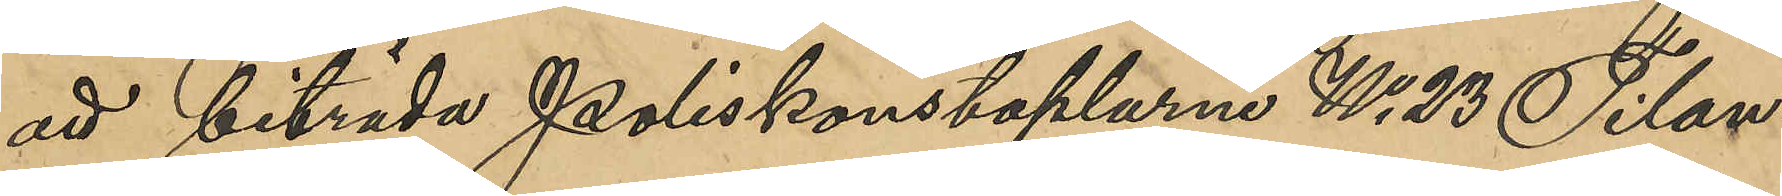att biträda Poliskonstaplarne No 23 Tilan¬
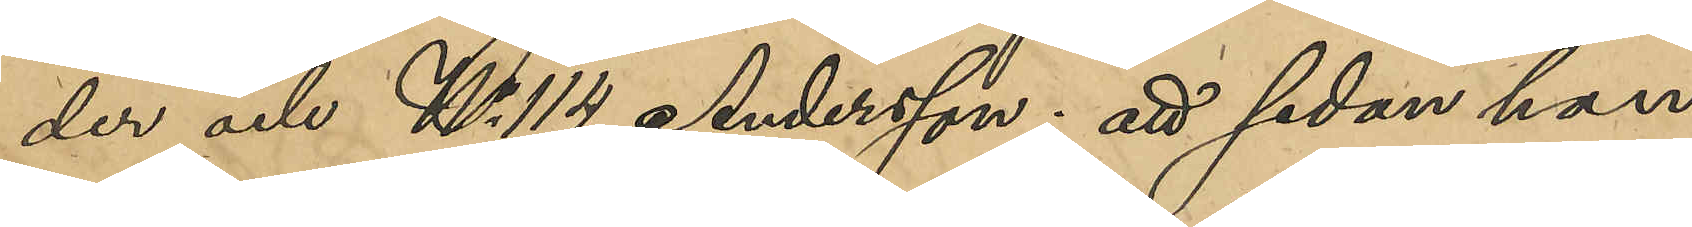der och No 114 Andersson; att sedan han
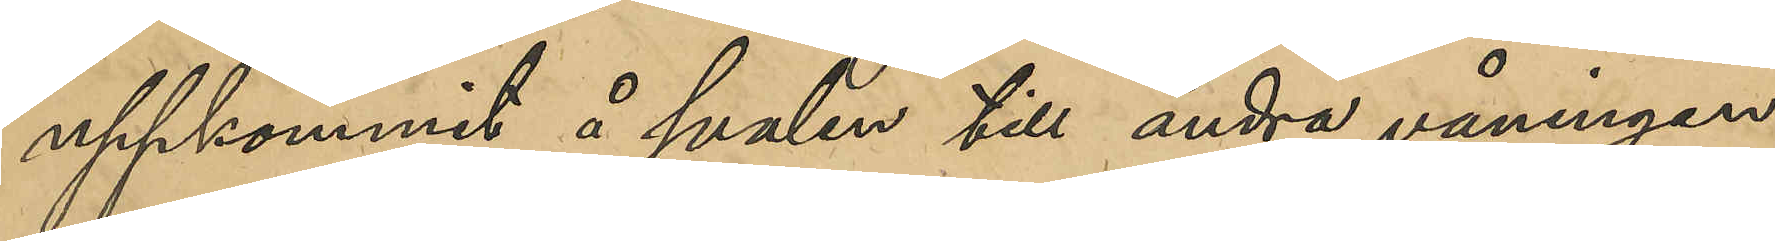uppkommit å svalen till andra våningen
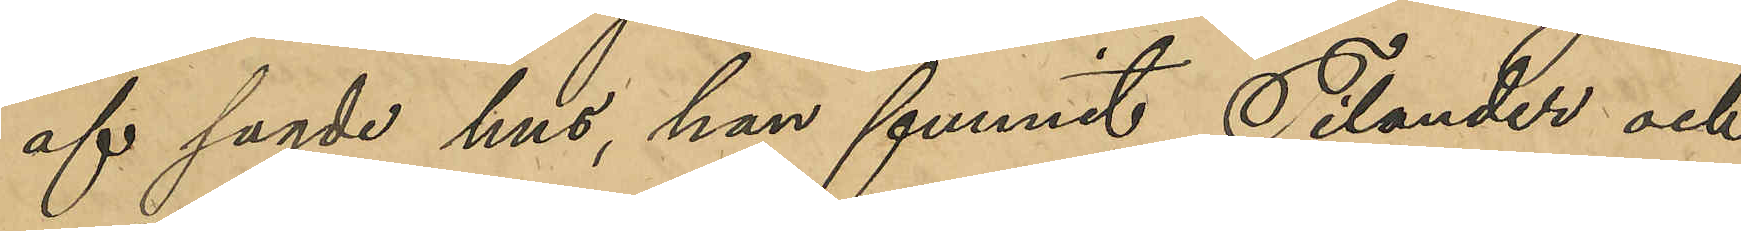af sagde hus, han funnit Tilander och
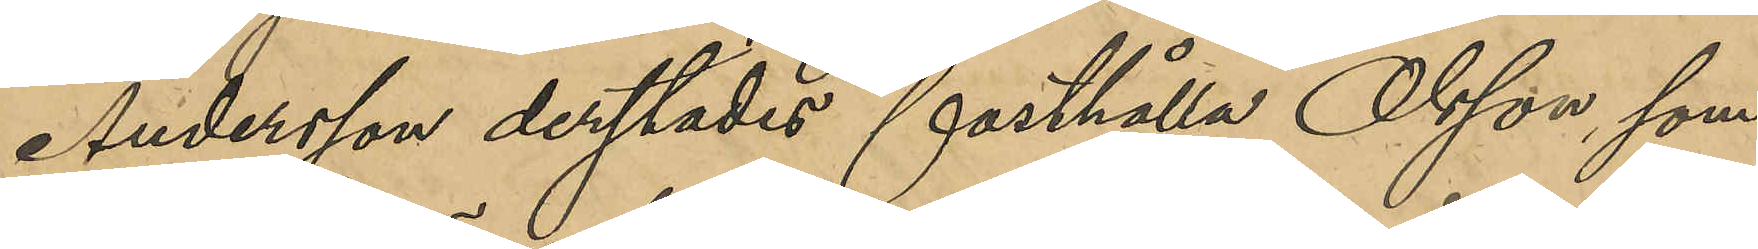Andersson derstädes fasthålla Olsson, som
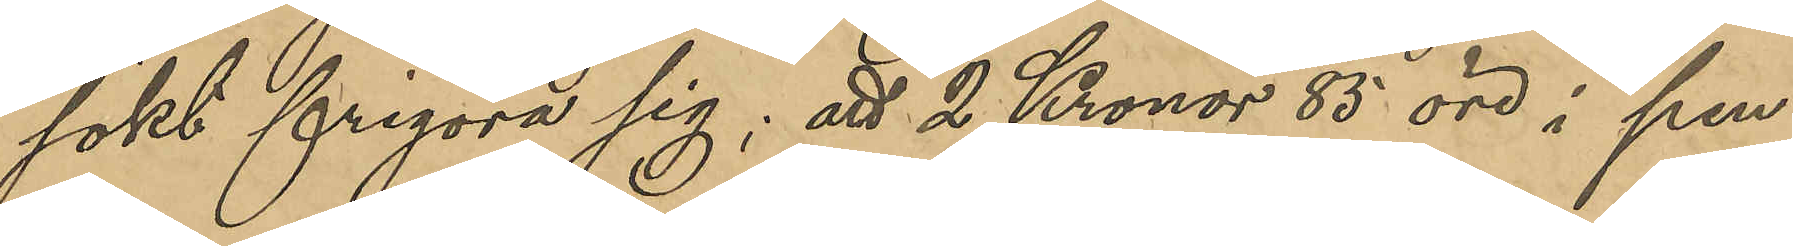sökt frigöra sig; att 2 Kronor 85 öre i pen¬
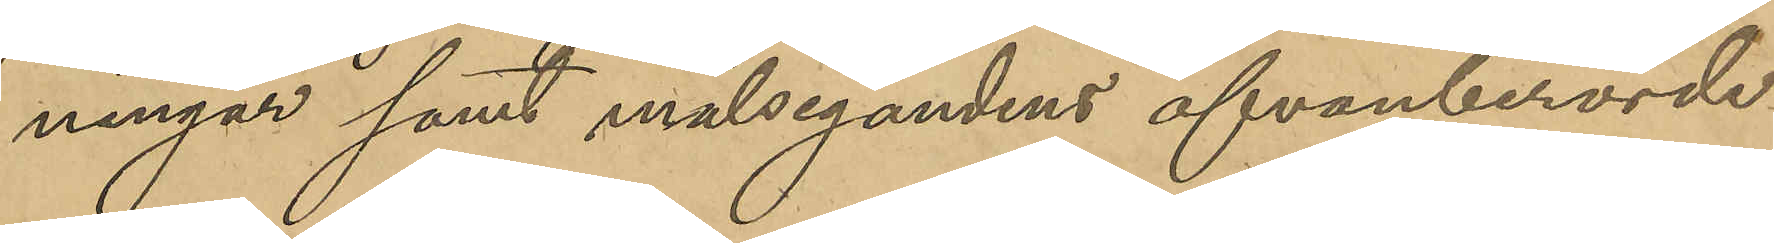ningar samt målsegandens ofvanberörde
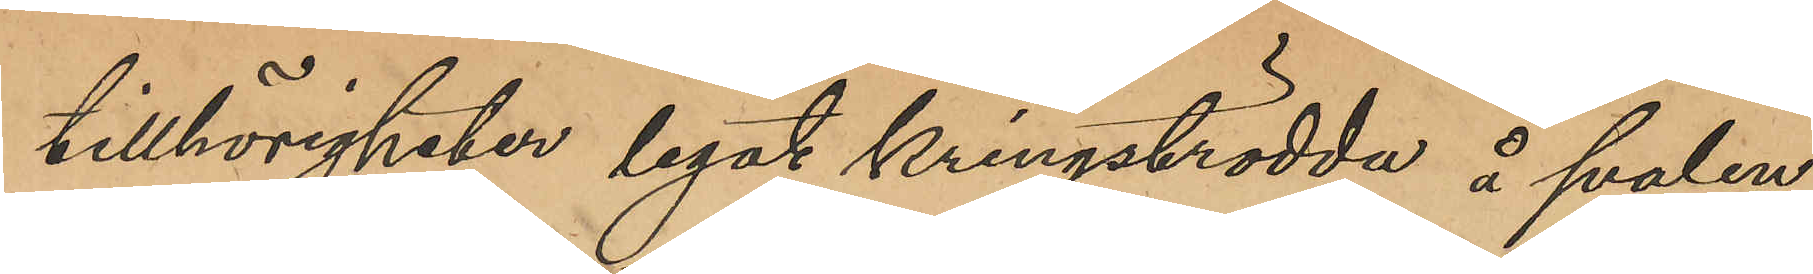tillhörigheter legat kringströdda å svalen;
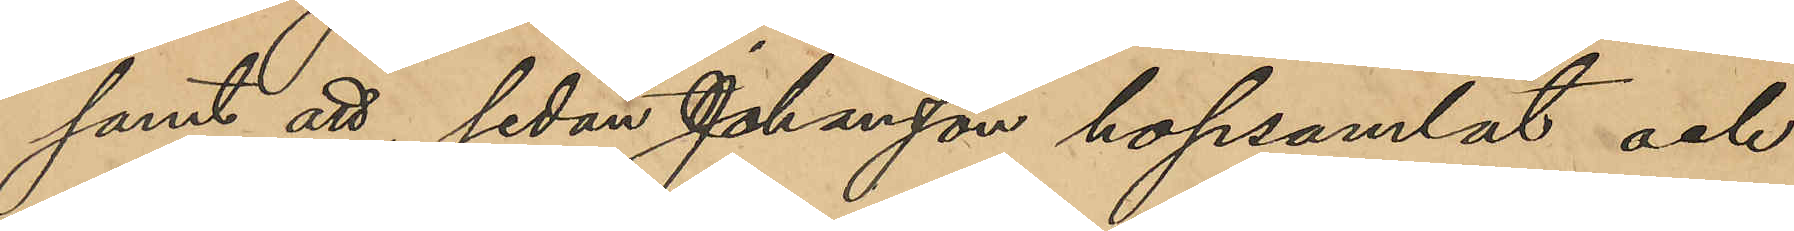samt att, sedan Johansson hopsamlat och 
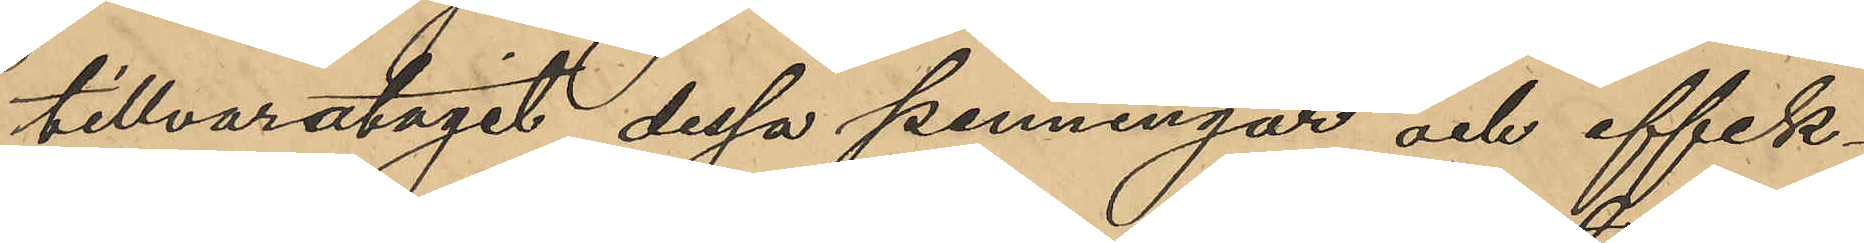tillvaratagit dessa penningar och effek¬
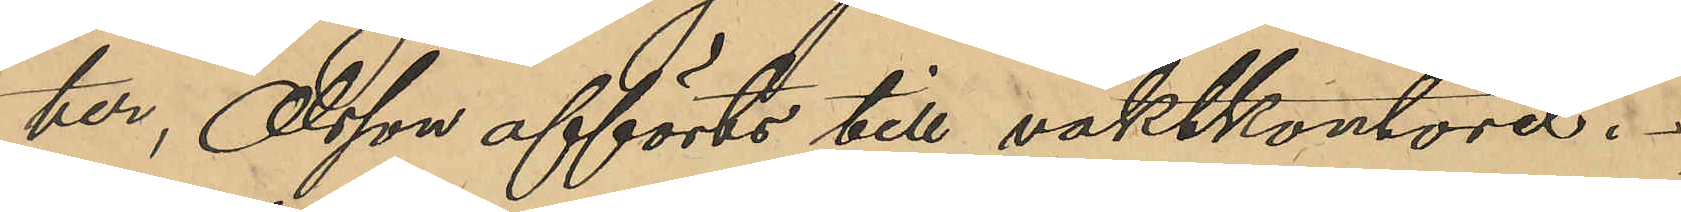ter, Olsson afförts till vaktkontoret.
